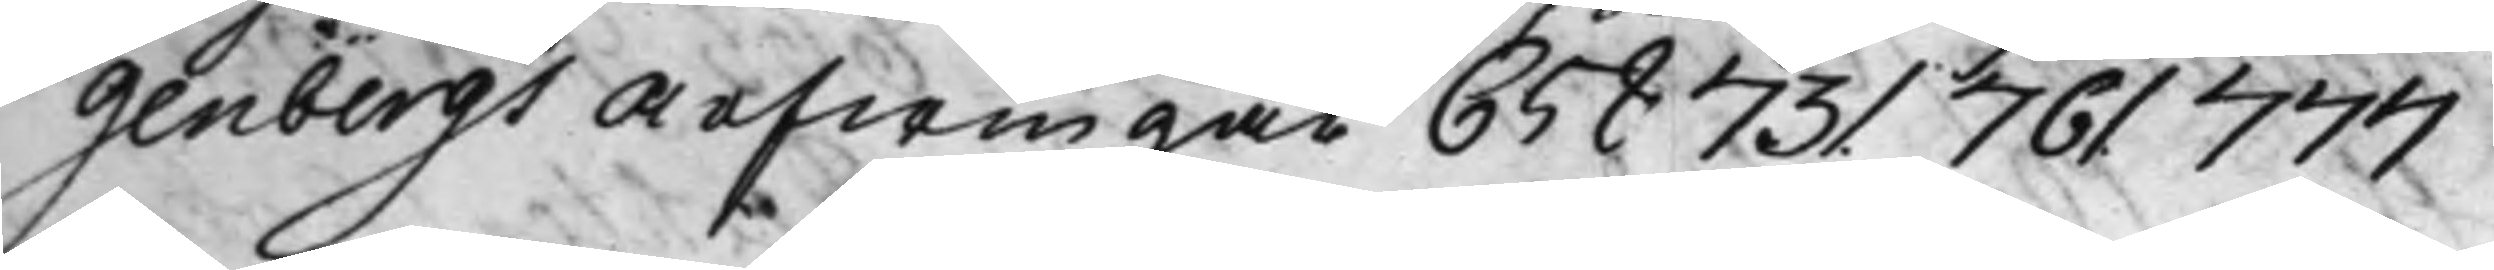genbergs arfwingar 658 731 761 777
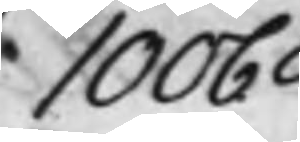1006
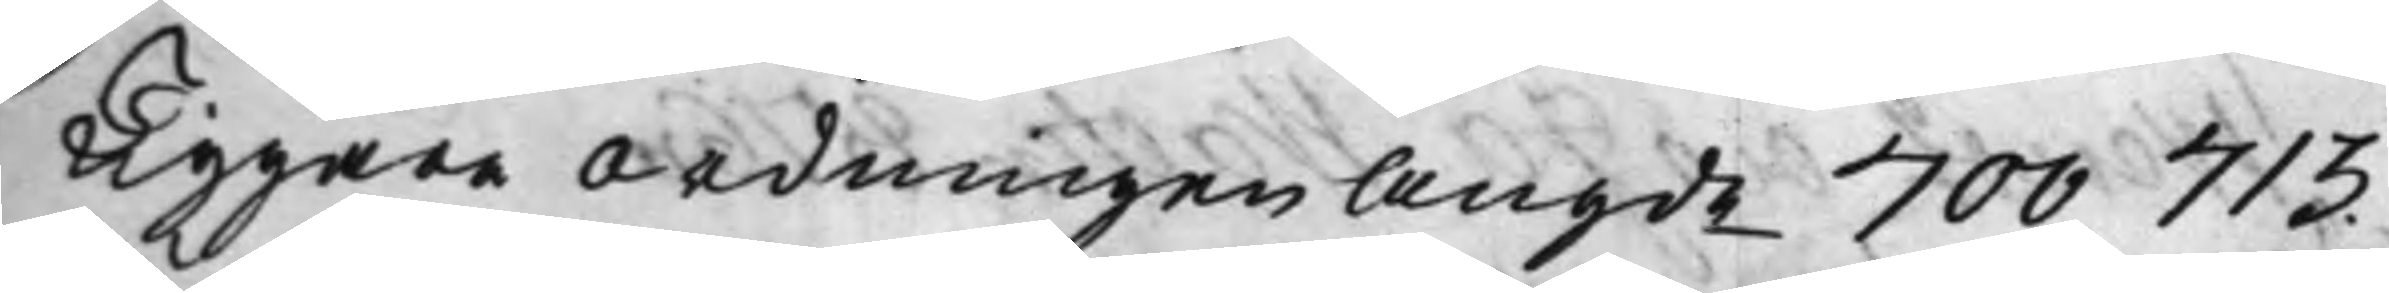Tiggare ordningen angde 700 713.
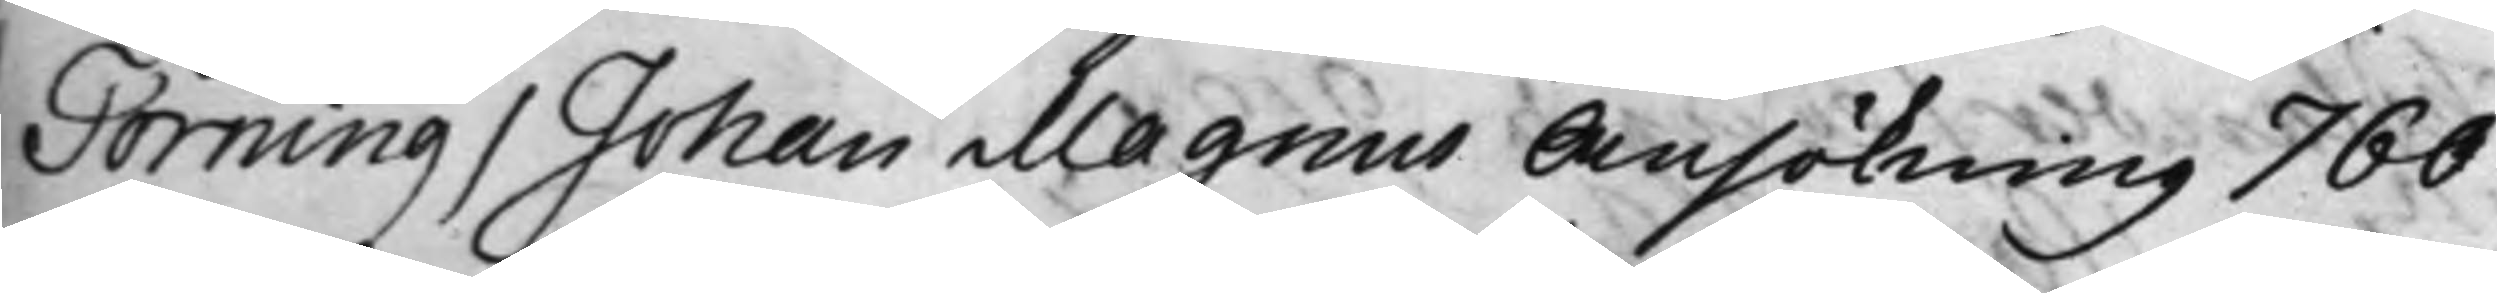Törning / Johan Magnus Ansökning 760
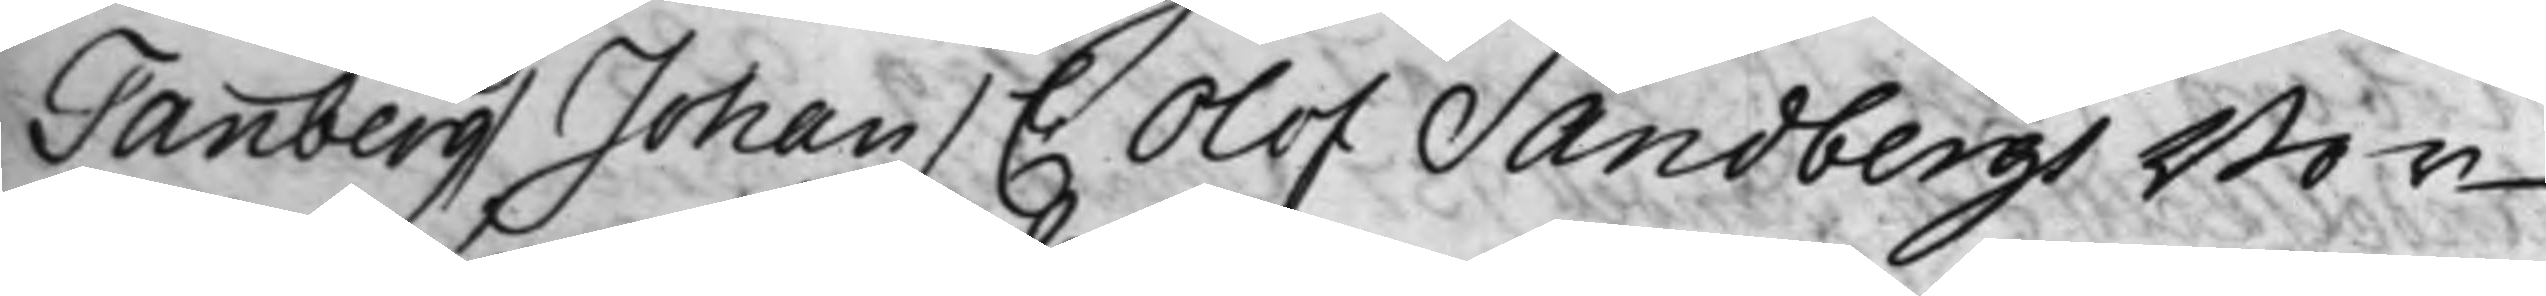Tanberg / Johan / C. Olof Sandbergs Bor¬
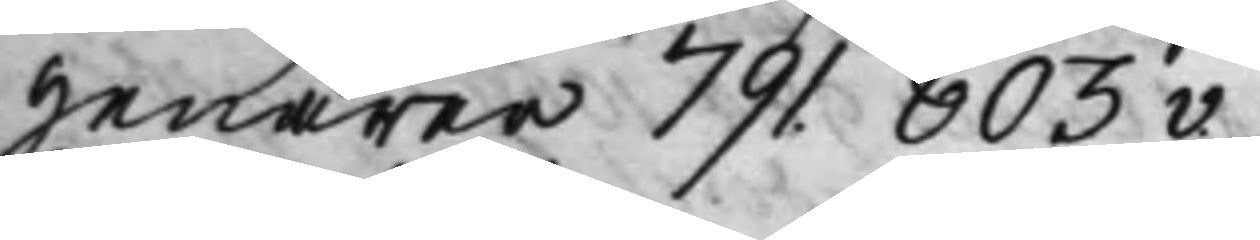genärer 791. 803v.
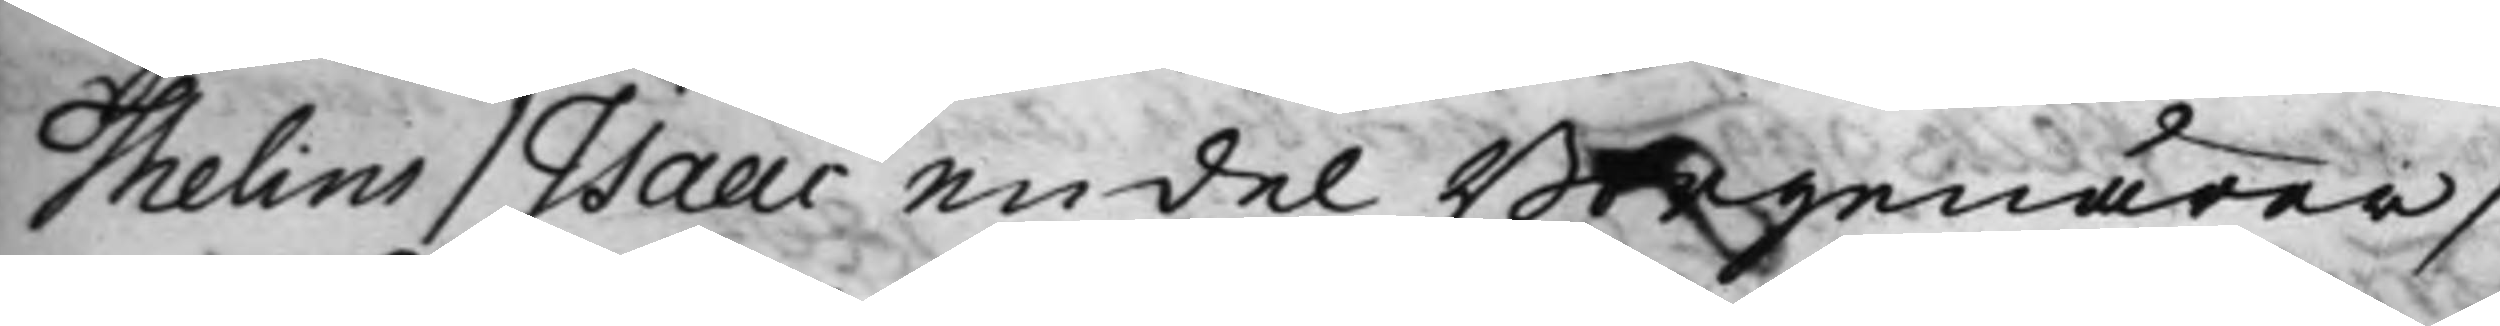Thelins / Isaac endel Borgenärer /
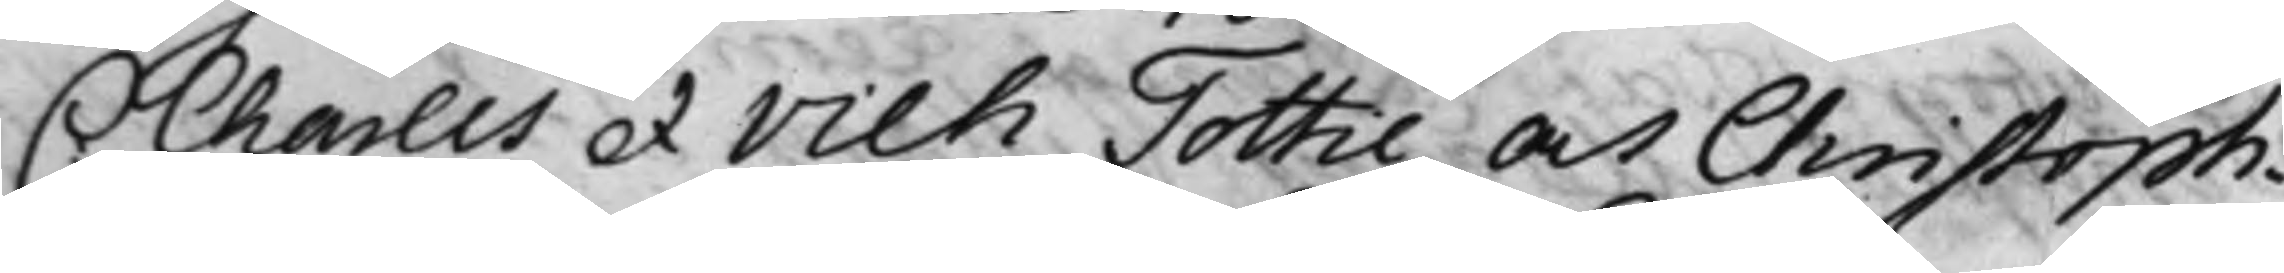C: Charles et Vilh Tottie och Christoph.
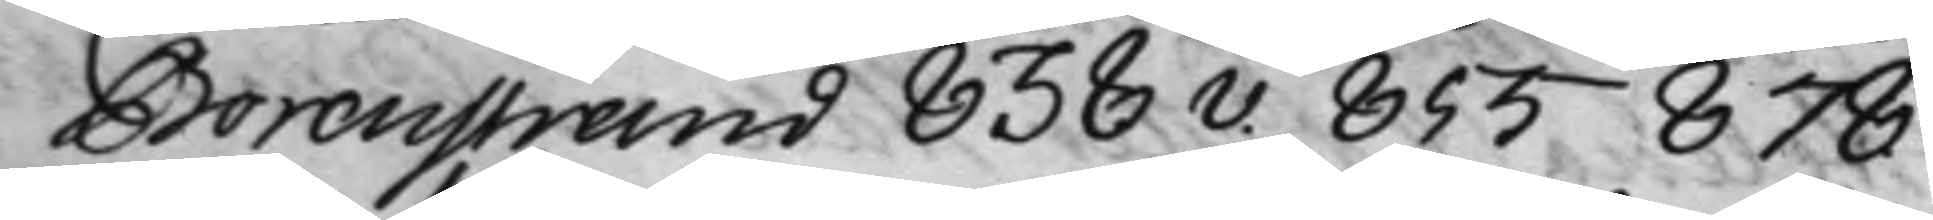Borenstrand 838v. 855 878
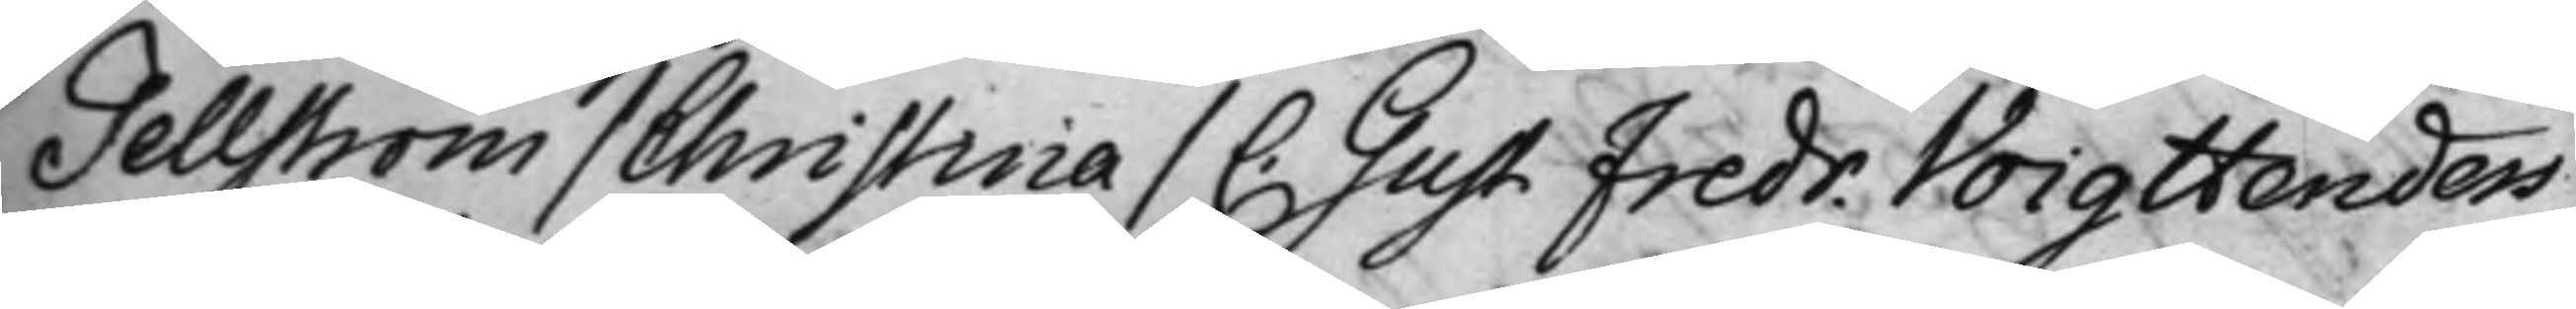Tellström / Christina / C. Gust Fredr. Voigtlenders
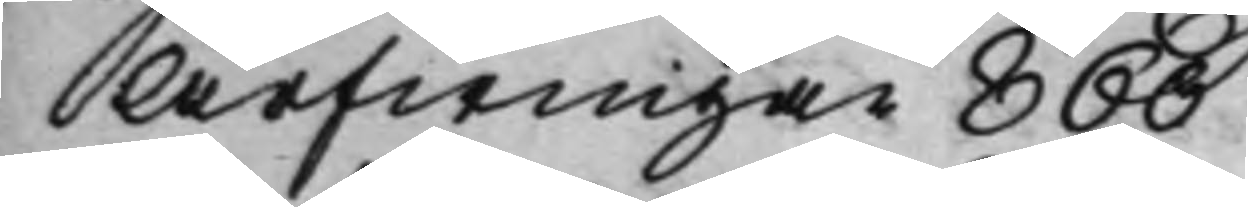Arfwingar 860
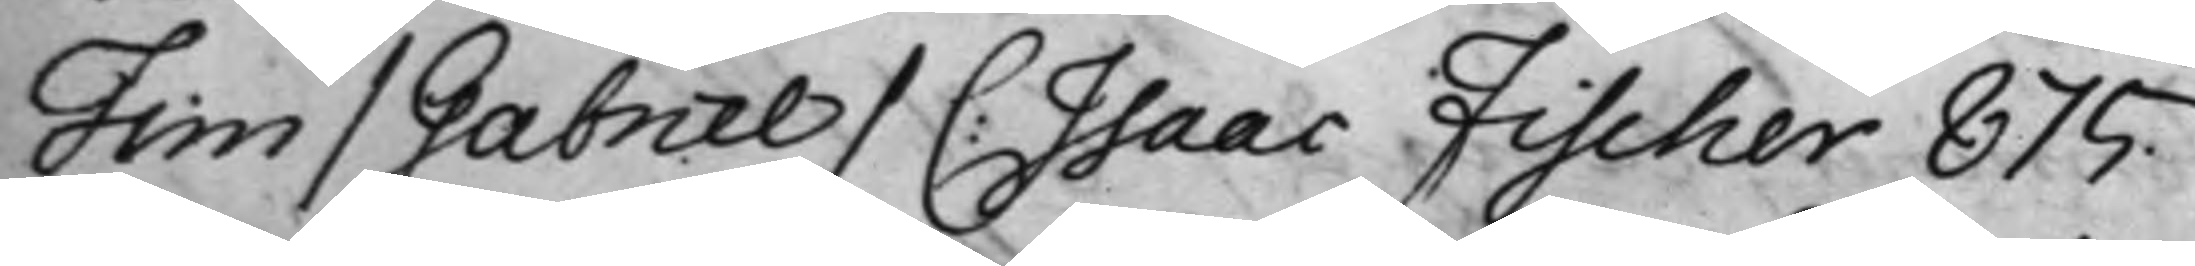Tim / Gabriel / C: Isaac Fischer 875.
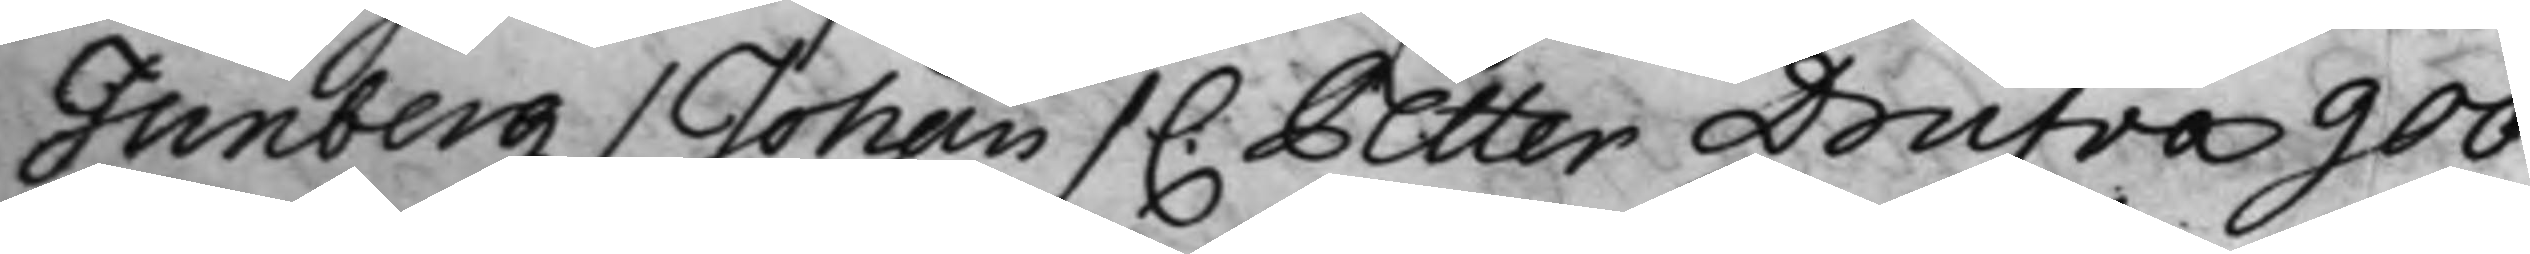Tunberg / Johan / C. Petter Drufva 900
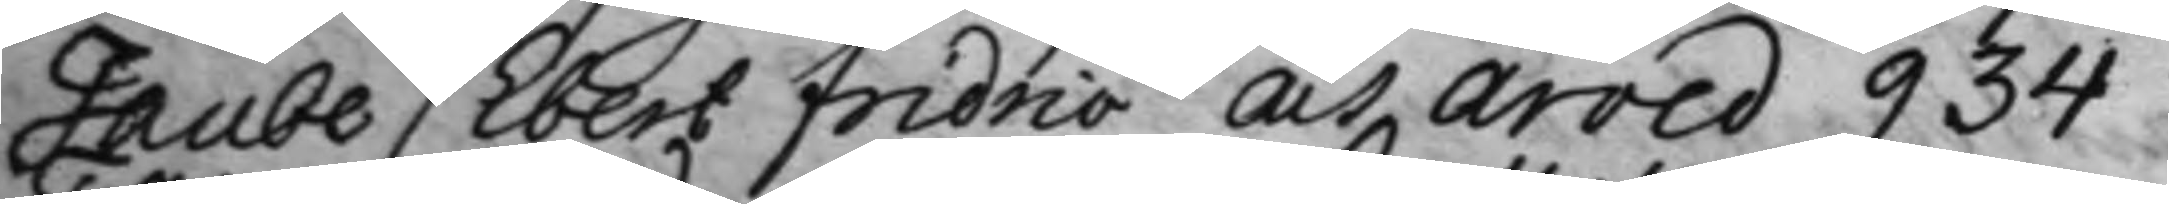Taube / Ebert Fridric och Arved 934
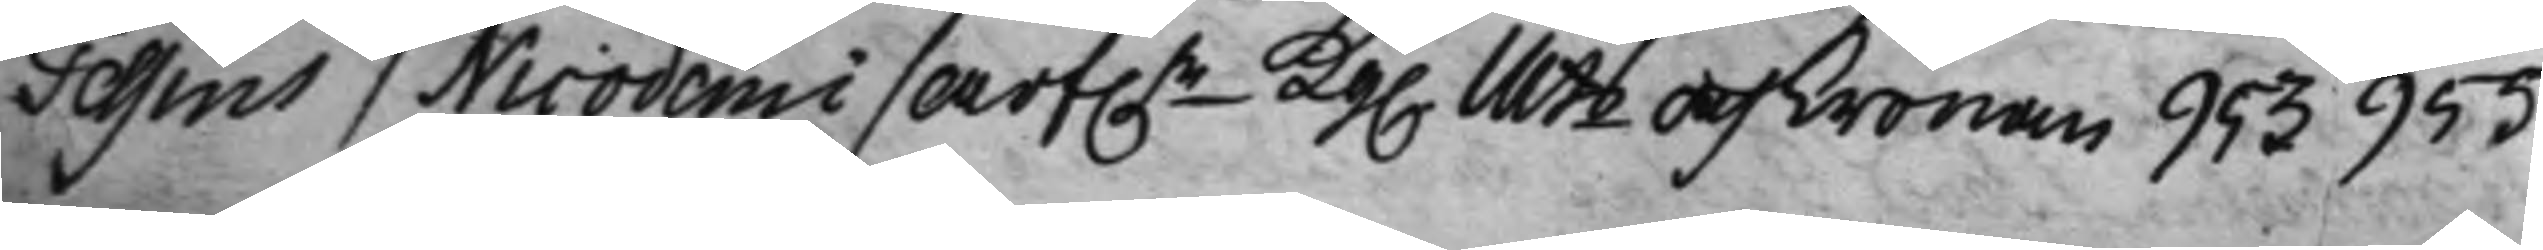Tessins / Nicodemi / Arf.r -Kg. Mts och Cronan 953 955
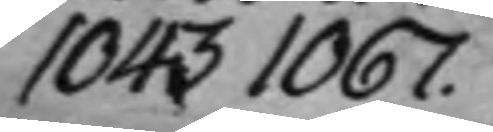1043 1067.
